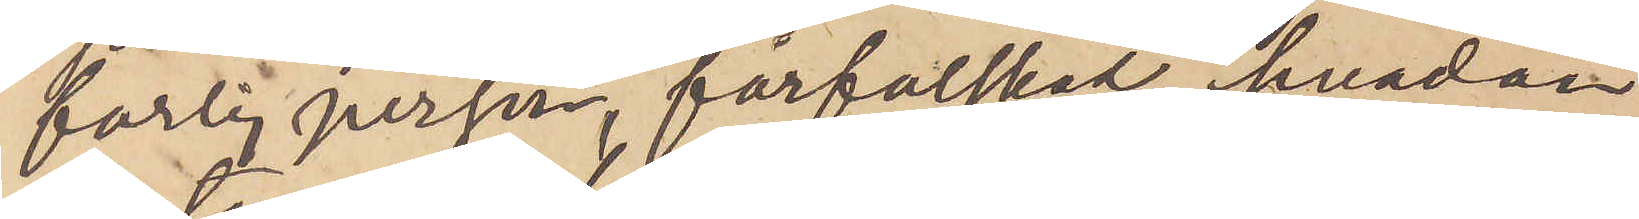farlig person, förfalskad, hvadan
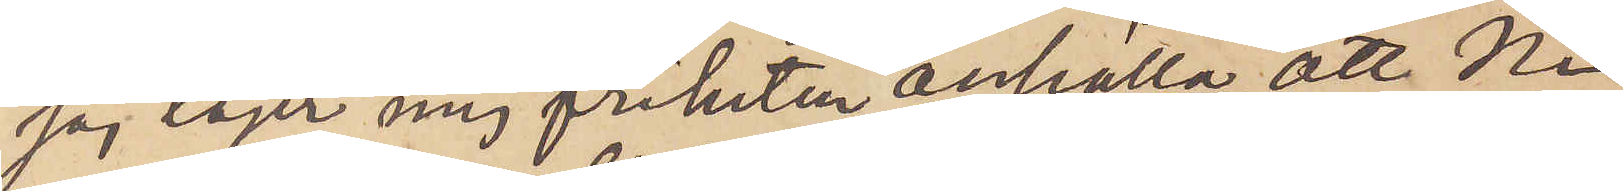jag tager mig friheten anhålla, att Ni
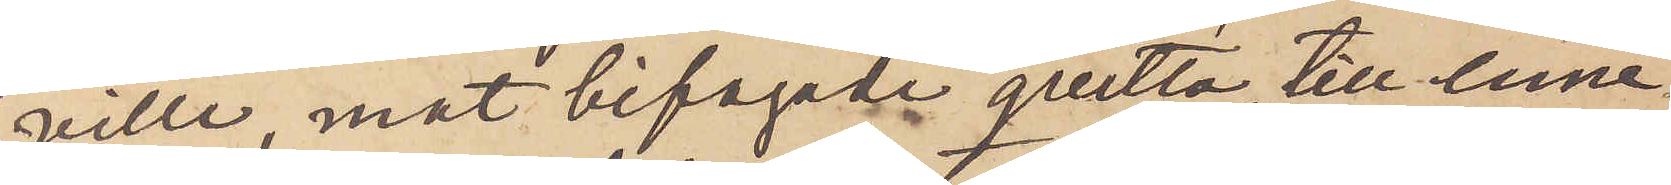ville, mot bifogade quitto till inne¬
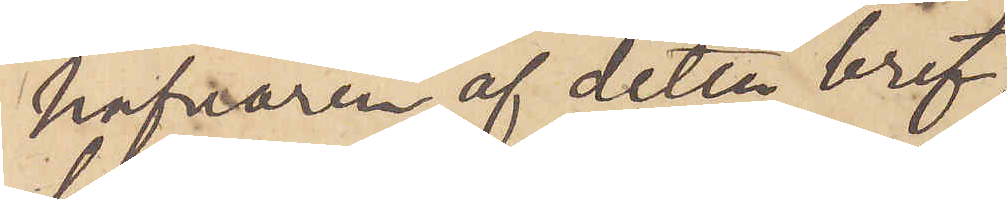hafvaren af detta bref,
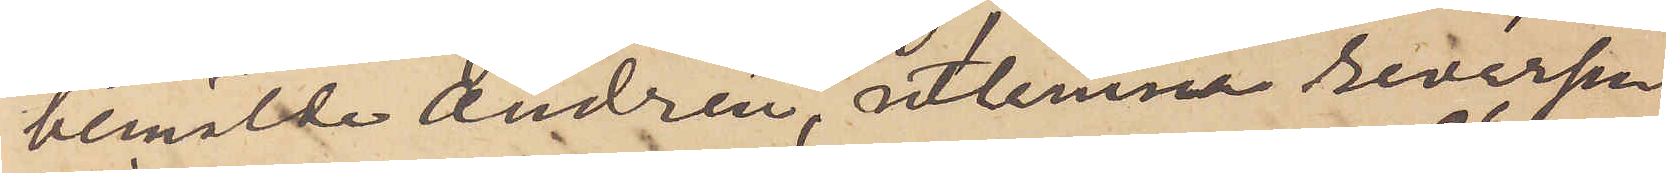bemälde Andrén, utlemna reversen.
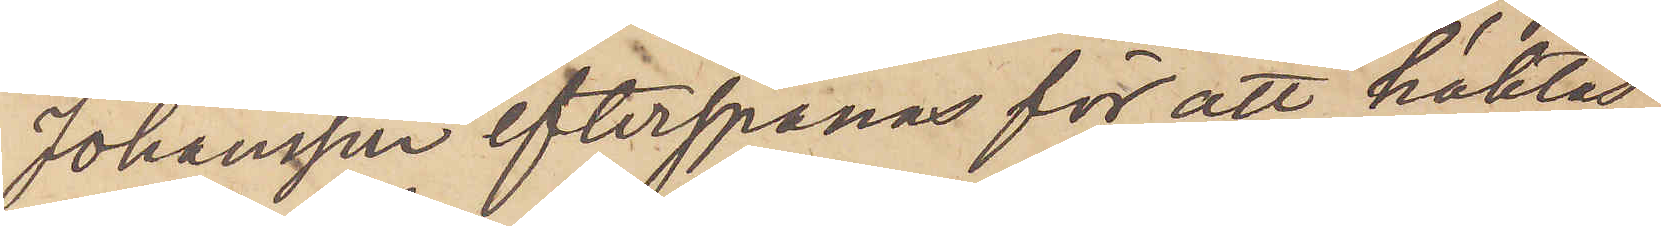Johansson efterspanas för att häktas.
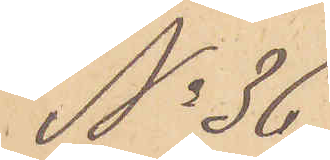No 36
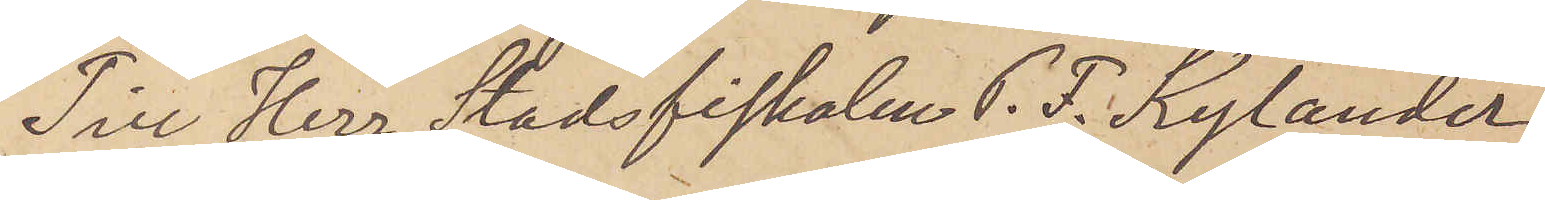Till Herr Stadsfiskalen P. F. Kylander
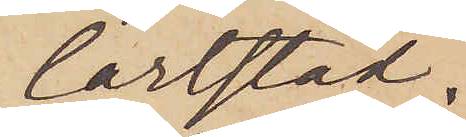Karlstad.
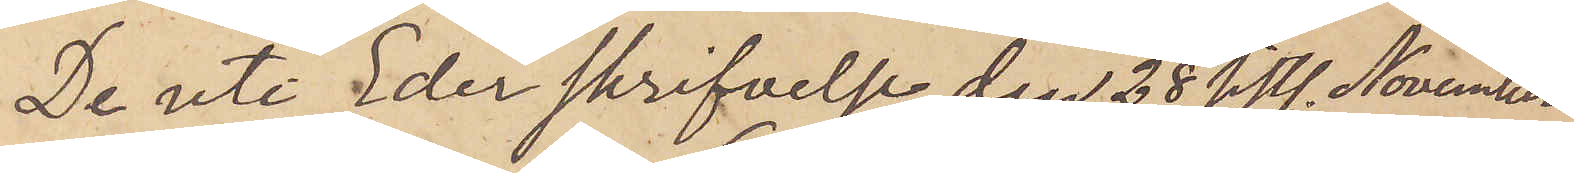De uti Eder skrifvelse den 28 sistl. November
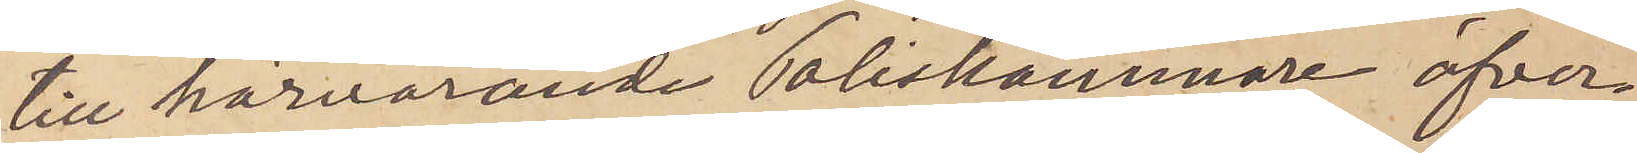till härvarande Poliskammare öfver¬
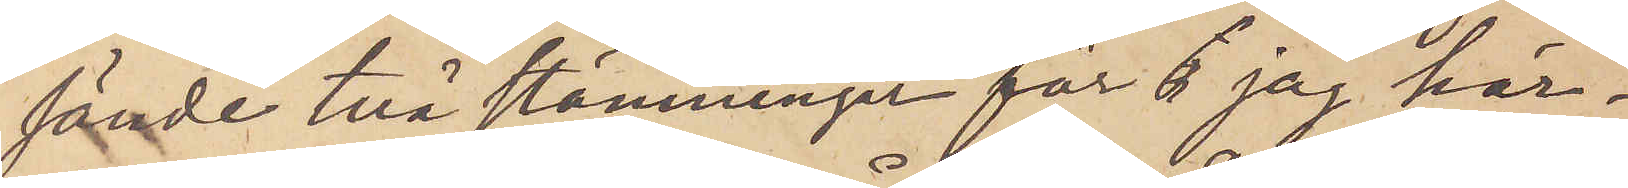sände två stämninger får jag här¬
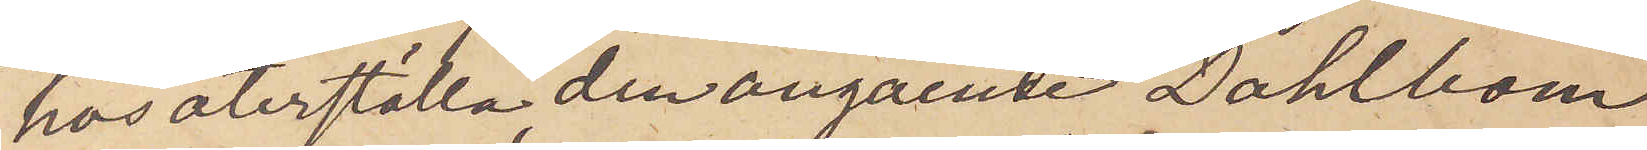hos återställa, den angående Dahlbom
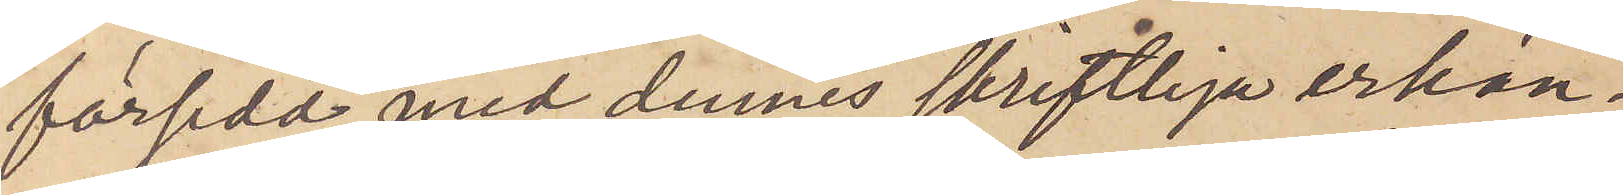försedd med dennes skriftliga erkän¬
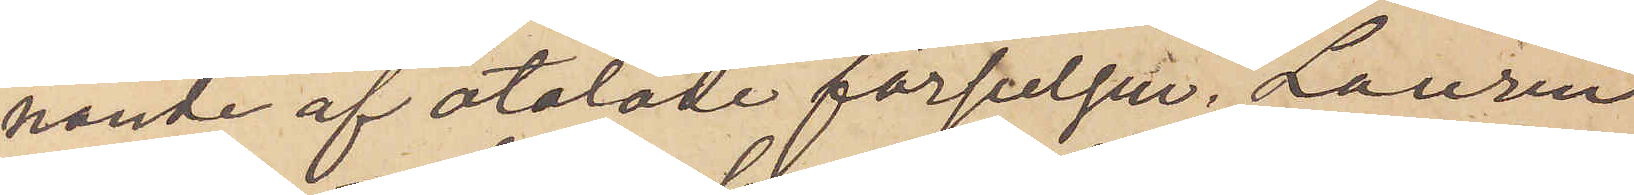nande af åtalade förseelsen. Laurin
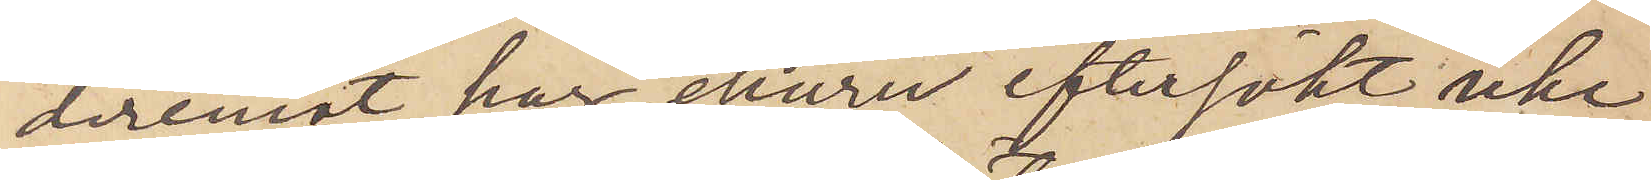deremot har, ehuru eftersökt, icke
